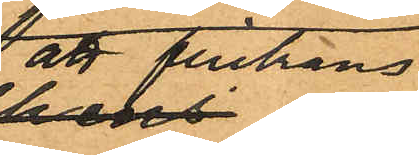att flickans
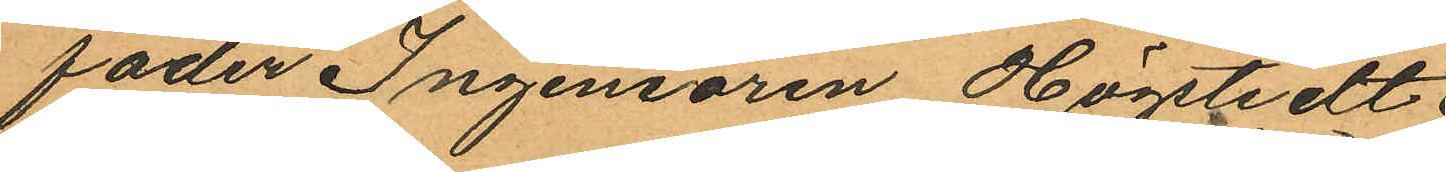fader Ingeniören Högstedt
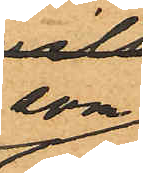som
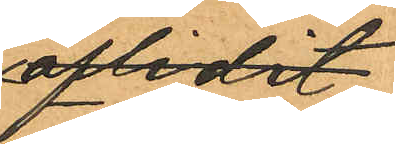aflidit
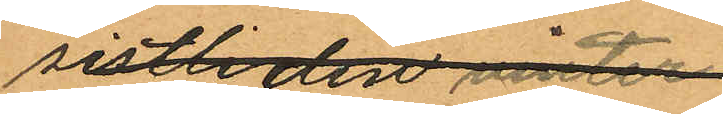sistliden vinter
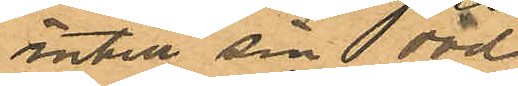intill sin död
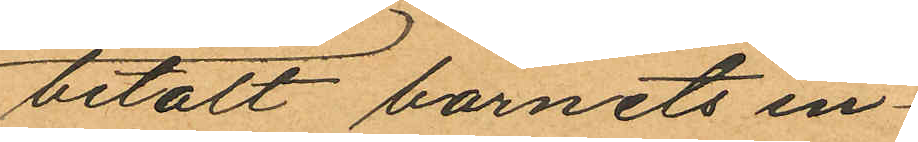betalt barnets in¬
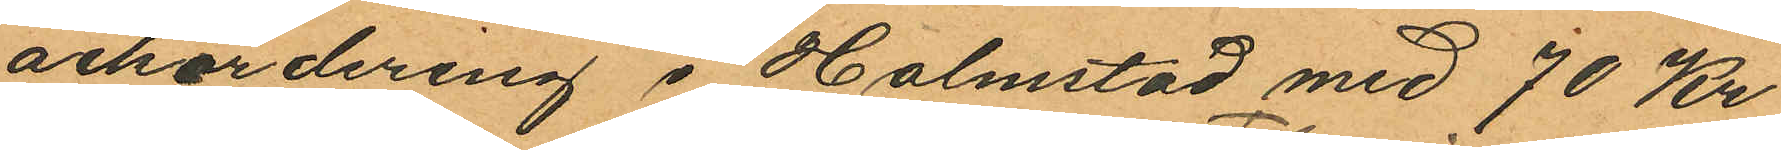ackordering i Halmstad med 70 Kr
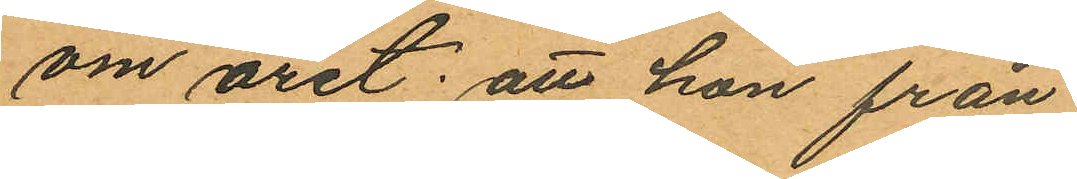om året; att hon från
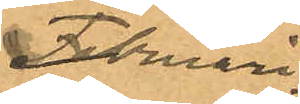Februari
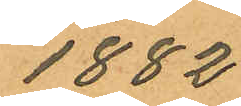1882
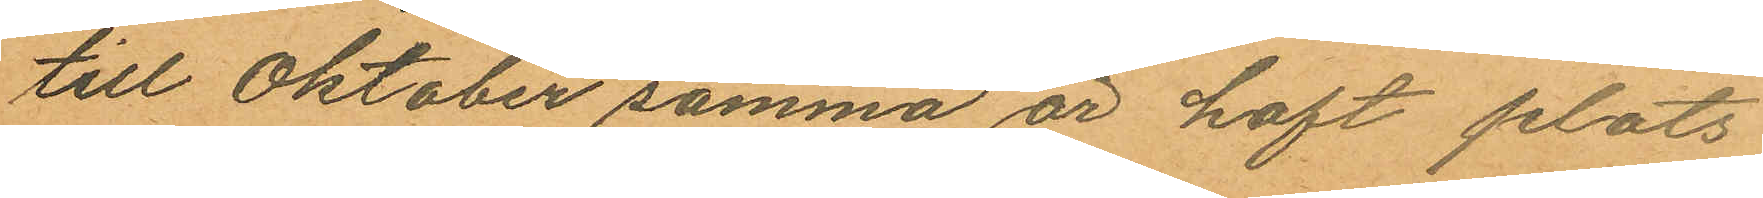till Oktober samma år haft plats
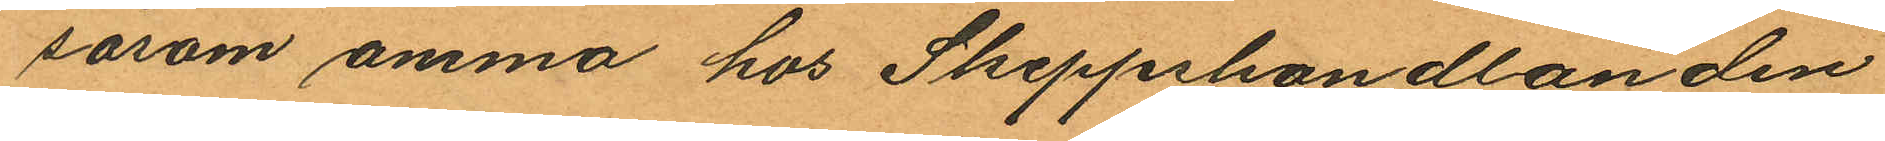såsom amma hos Skeppshandlanden
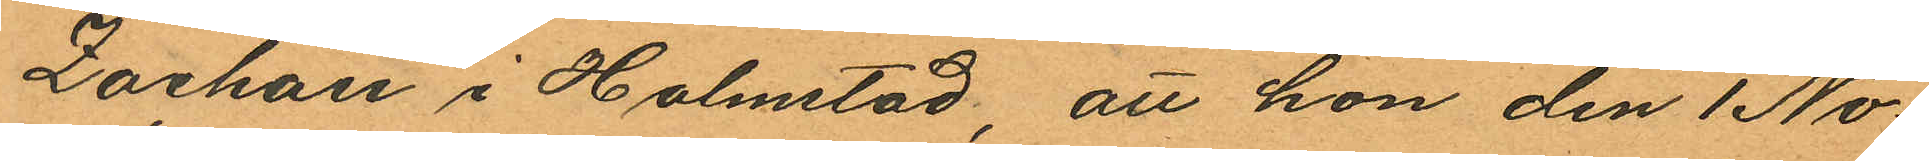Zachau i Halmstad, att hon den 1 No¬
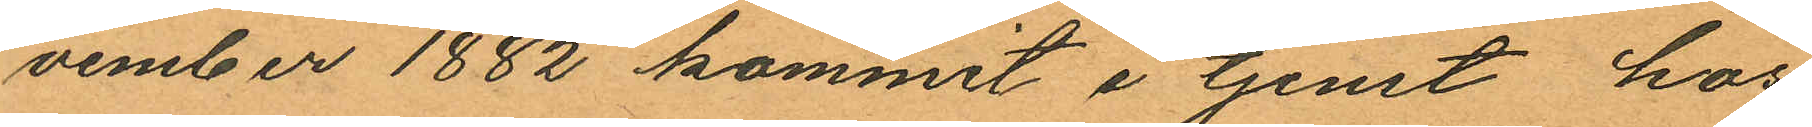vember 1882 kommit i tjenst hos
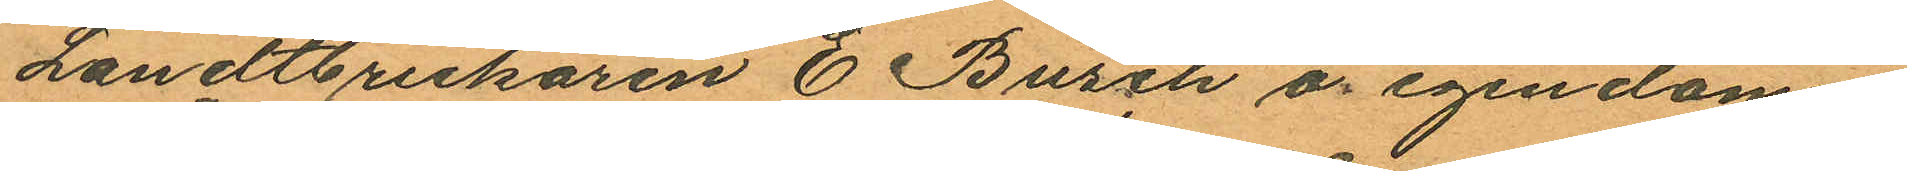Landtbrukaren E. Busch å egendomen
